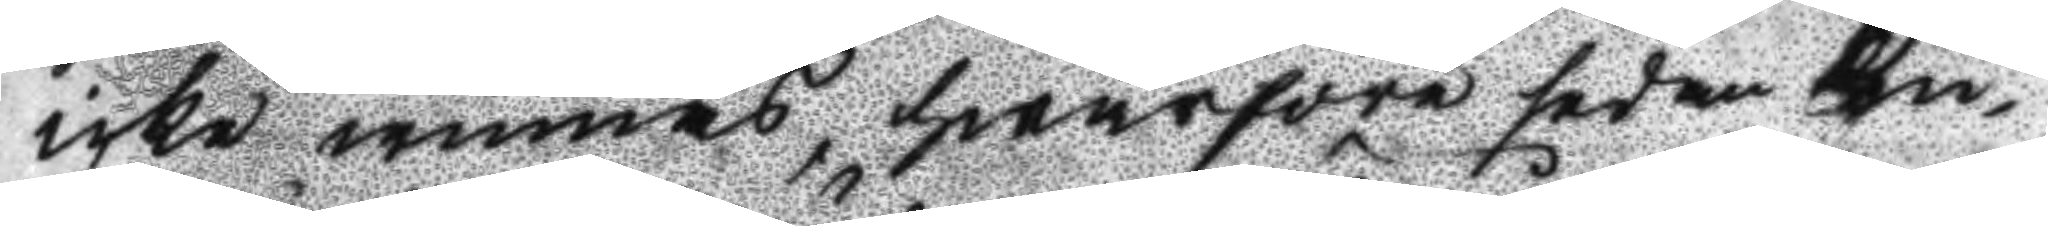icke minnas, hwarföre sedan Ku¬
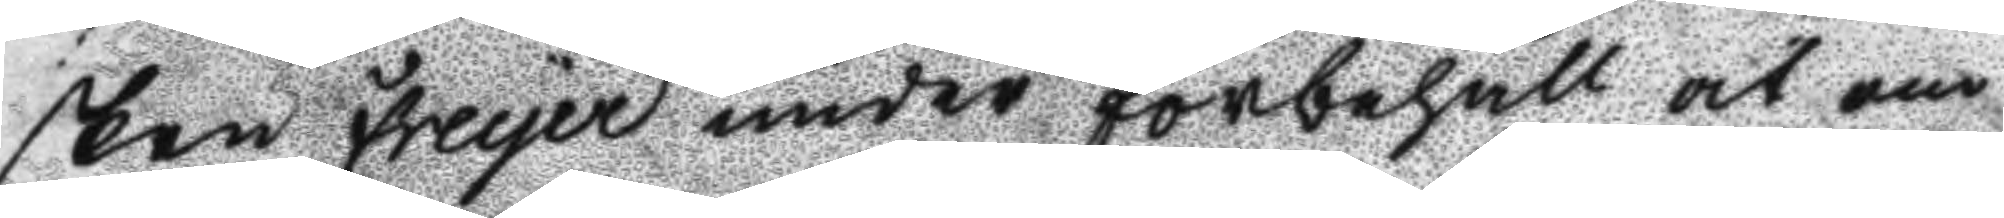sken Freuer under förbehåll at om
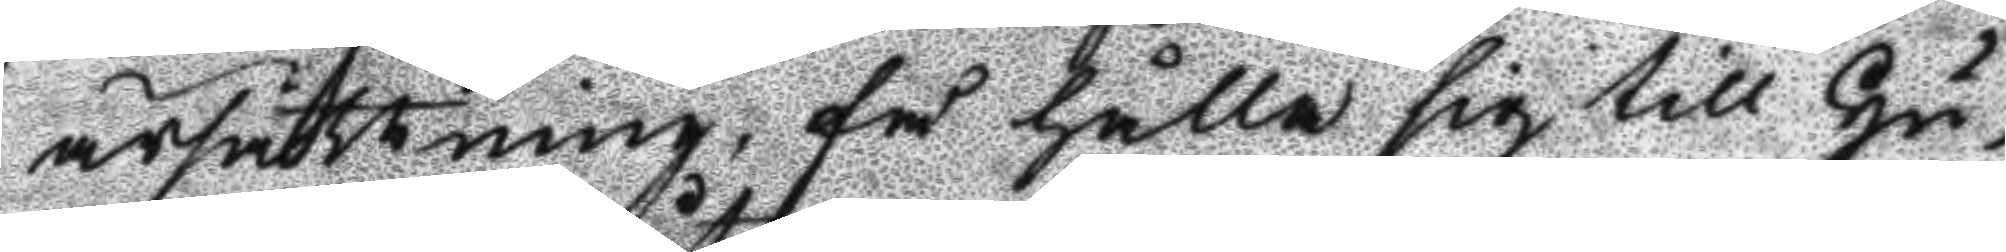ärsättning, så hålla sig till Hu¬
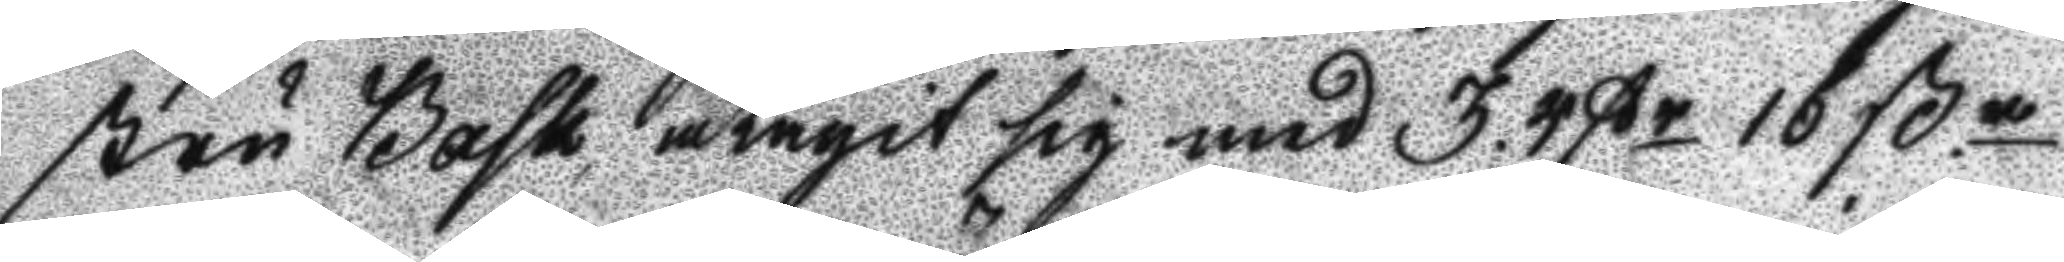stru Bask, utagit sig med 3. Rßr 16 ß.n
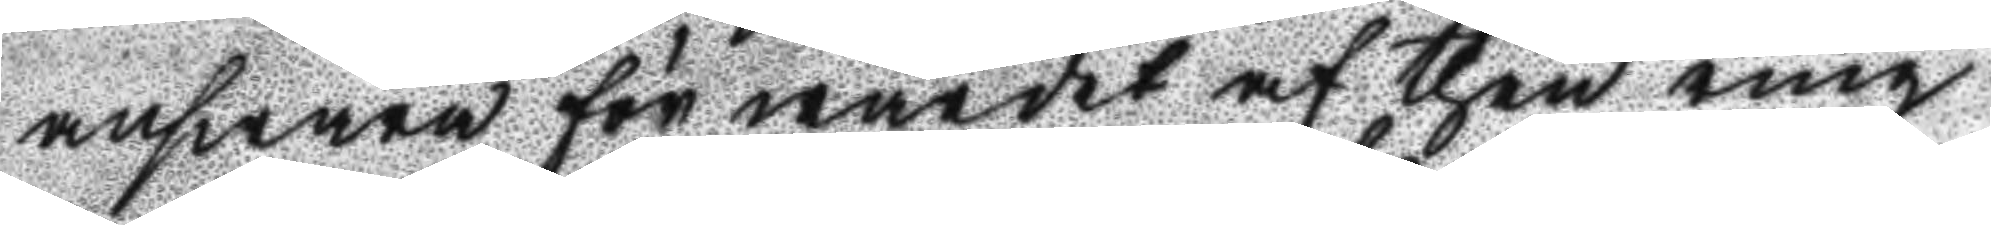answara för wärdet af then ring
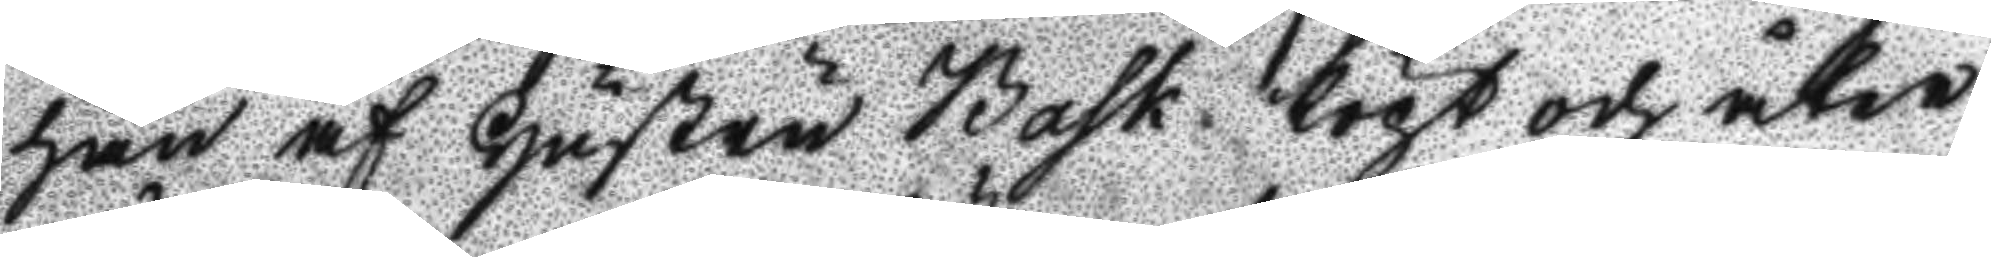han af Hustru Bask köpt och åter
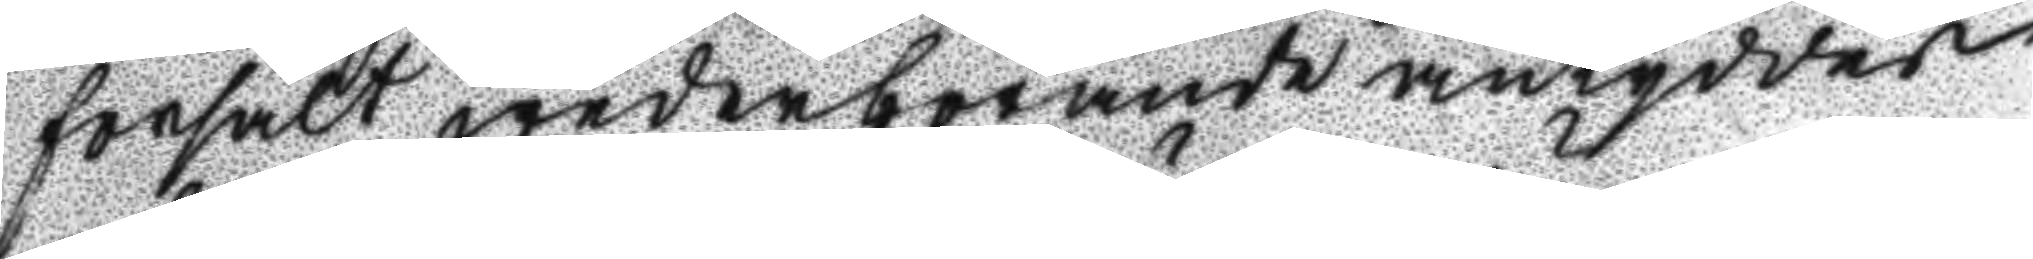försålt wederbörande antyddes
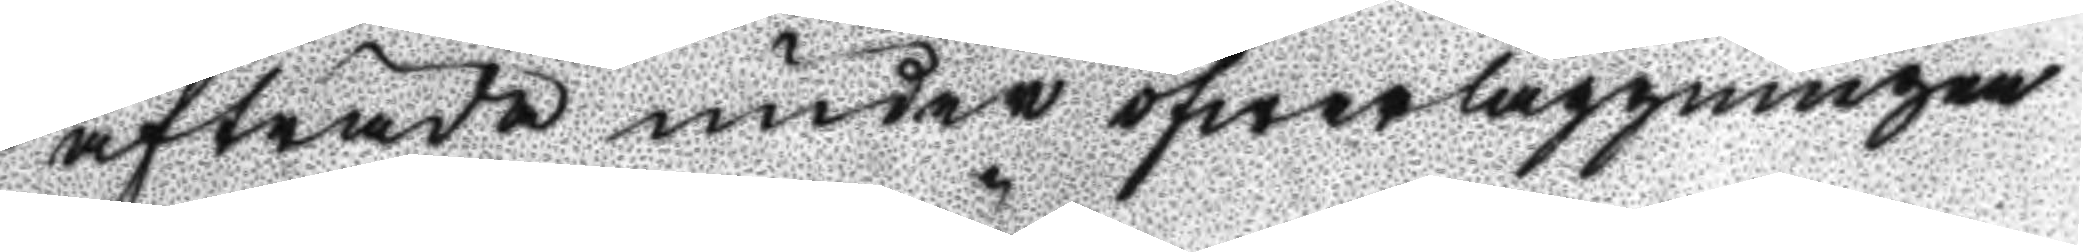afträda under öfwerläggningen
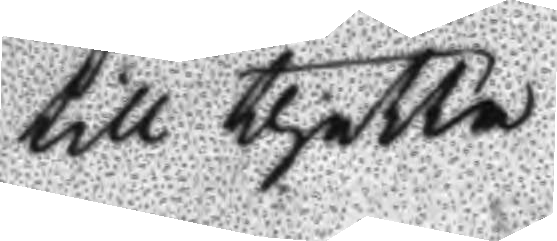till thetta
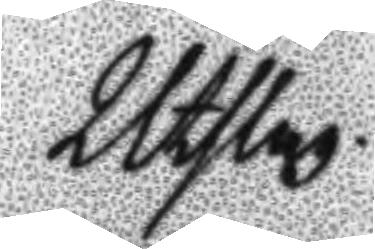Utslag
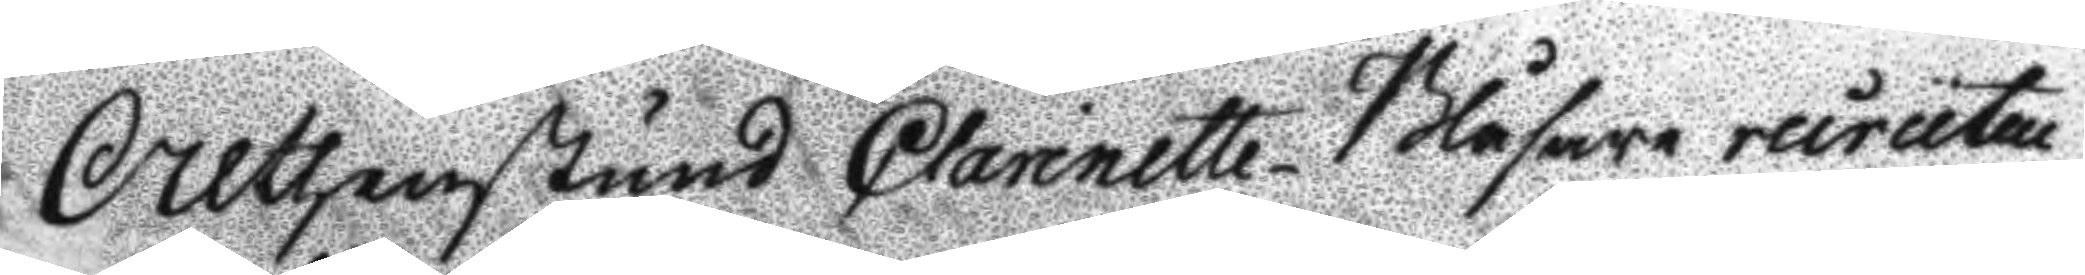Althenstund Clarinette Blåsare recruten
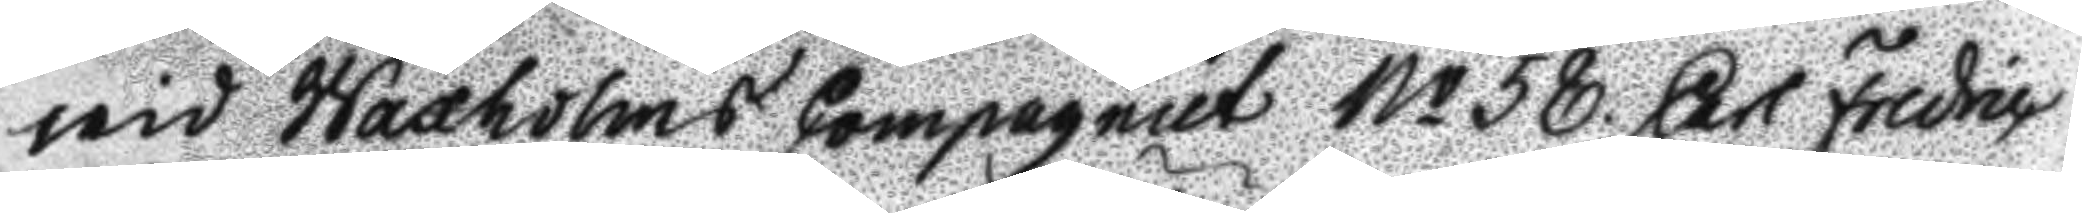wid Waxholms Compagniet No 58 Carl Fredric
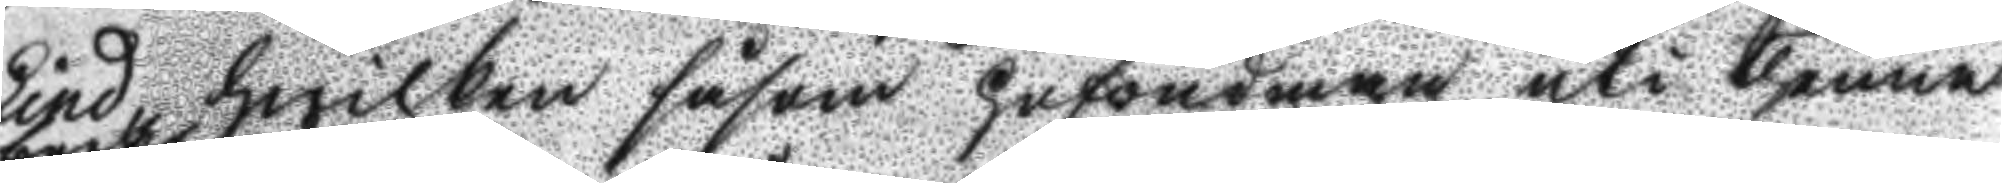Lind hwilken såsom hufvudman uti thenna
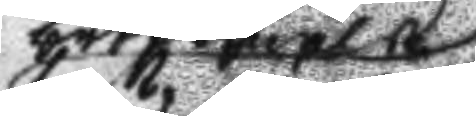brottsmål
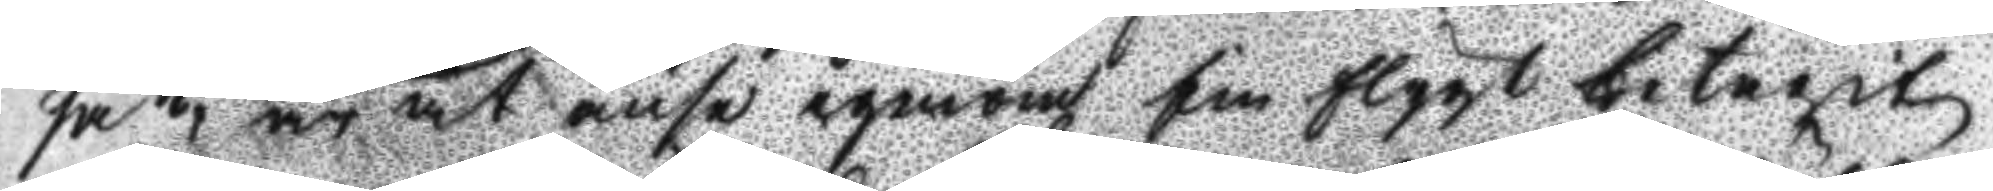sa, är att anse igenom sin flygt bewist
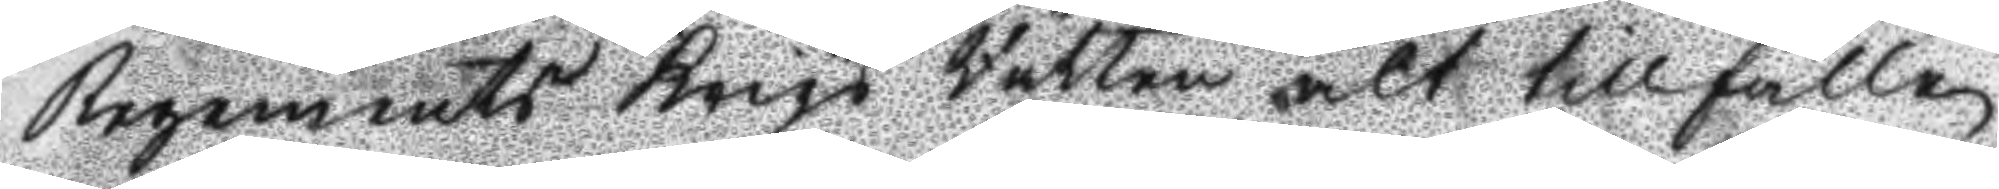Regements Krigs Rätten alt tillfälle
